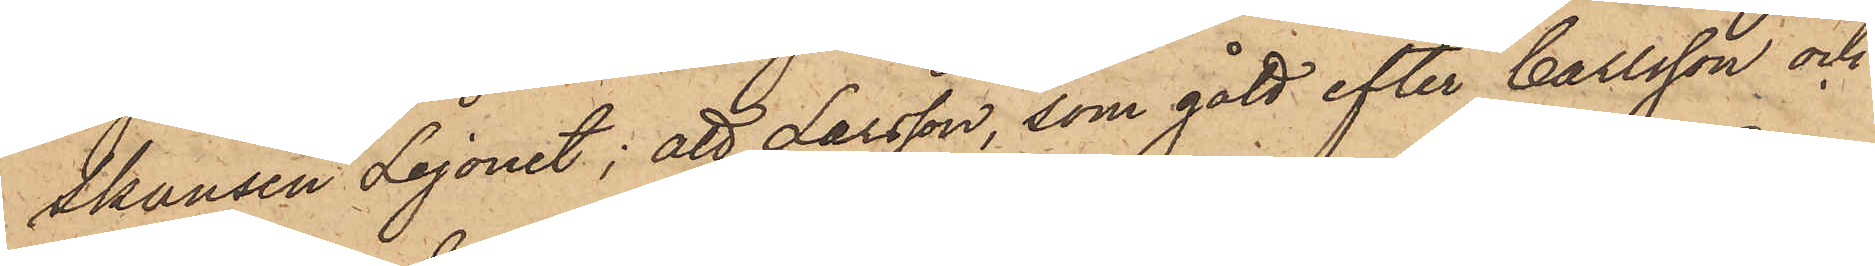Skansen Lejonet; att Larsson, som gått efter Carlsson och
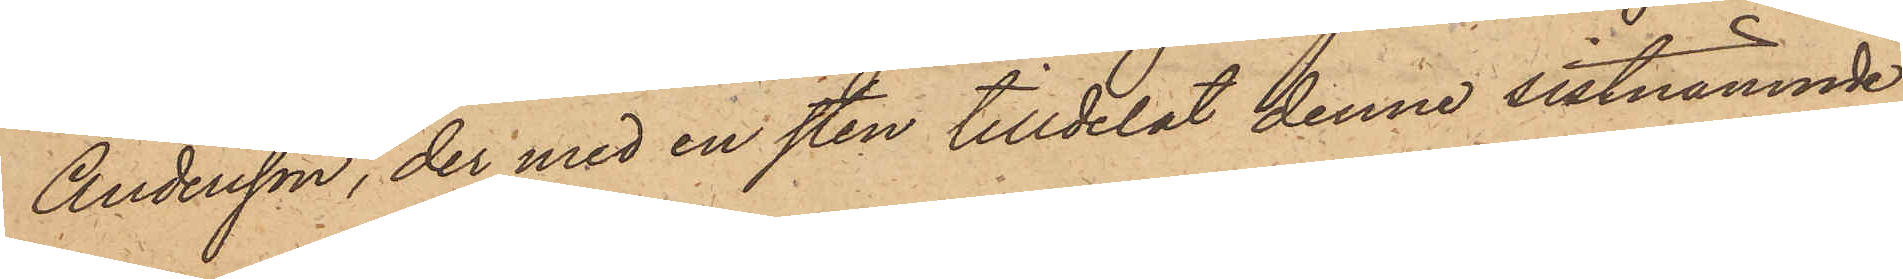Andersson, der med en sten tilldelat denne sistnämnde
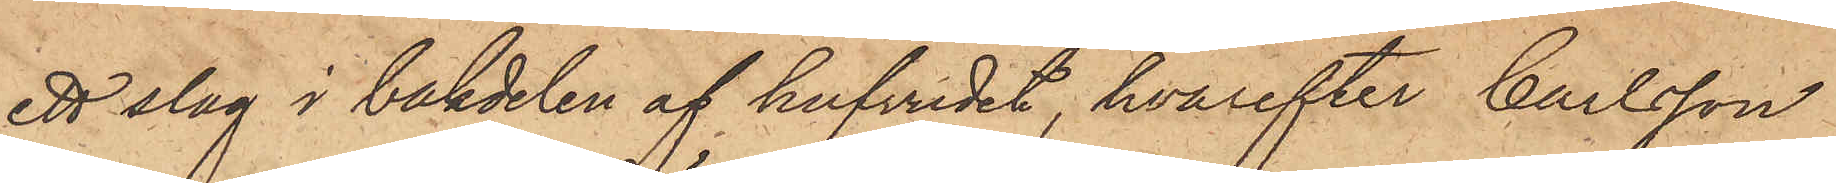ett slag i bakdelen af hufvudet, hvarefter Carlsson
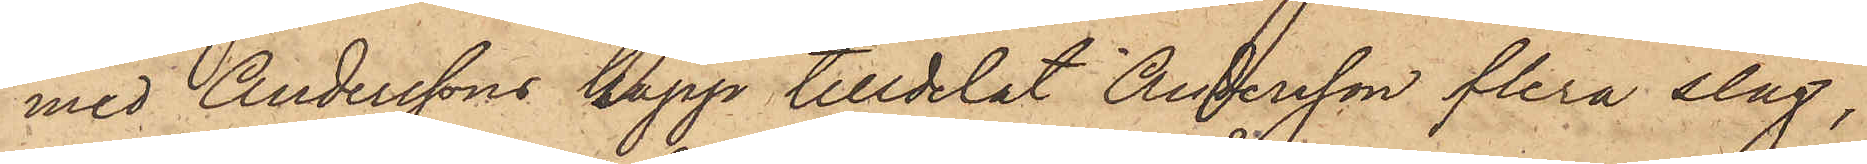med Anderssons käpp tilldelat Andersson flera slag,
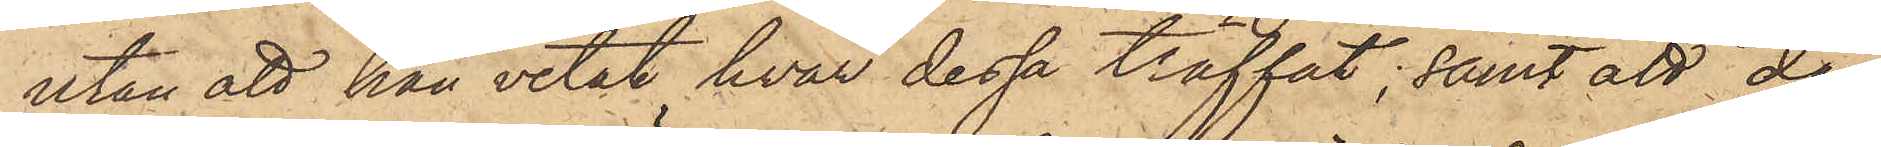utan att han vetat hvar dessa träffat; samt att då
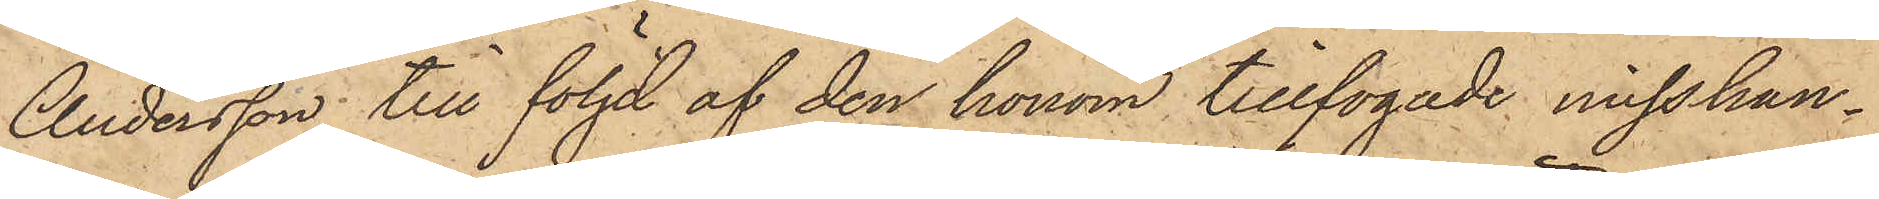Andersson till följd af den honom tillfogade misshan¬
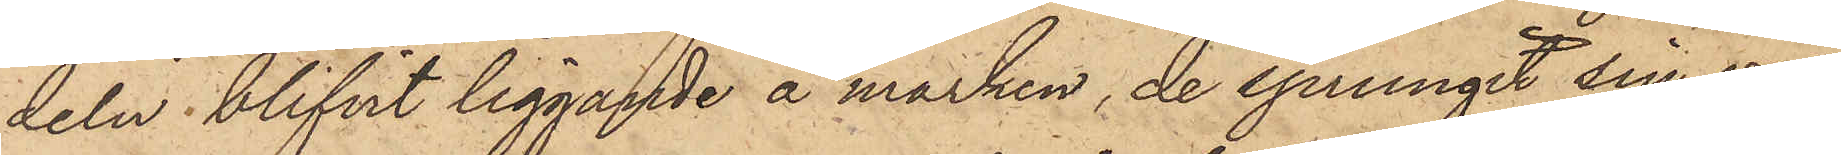deln blifvit liggande å marken, de sprungit sin väg,
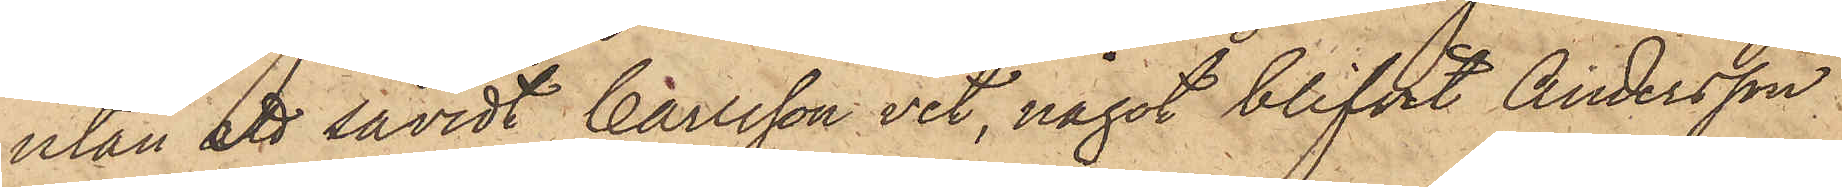utan att såvidt Carlsson vet, något blifvit Andersson
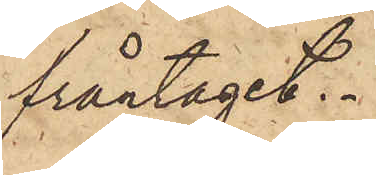fråntaget.
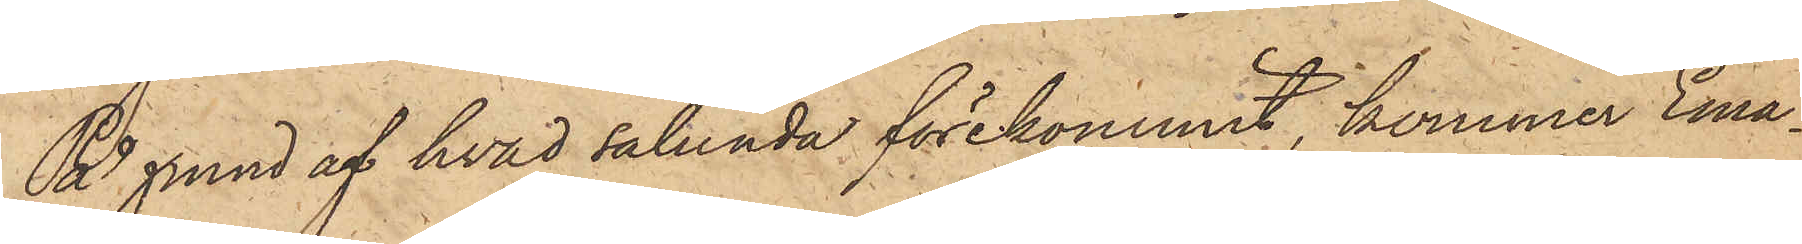På grund af hvad sålunda förekommit, kommer Ema¬
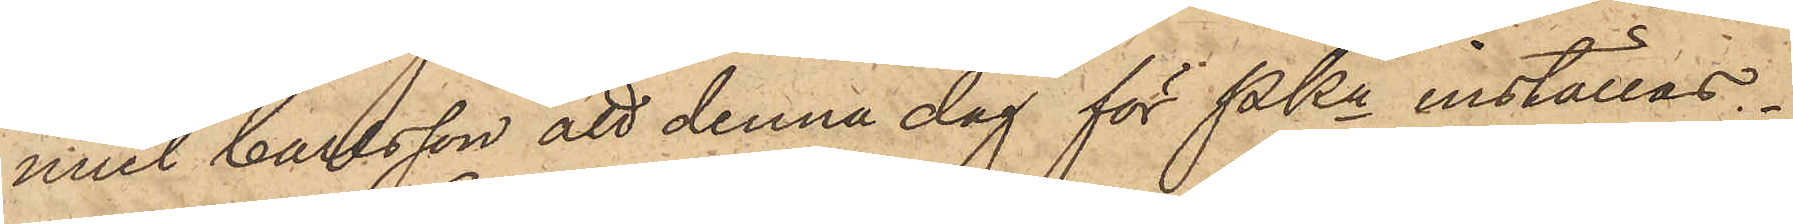nuel Carlsson att denna dag för Pkn inställas.
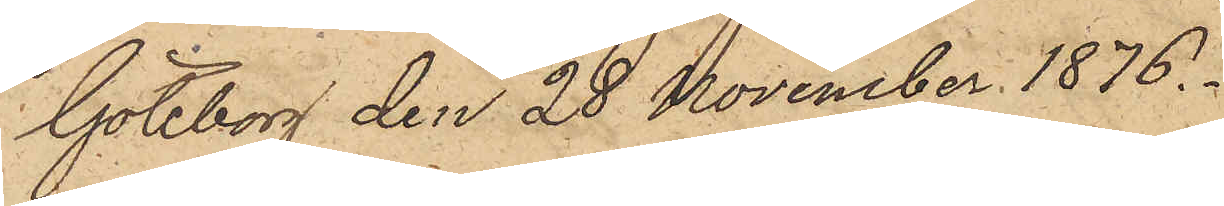Göteborg den 28 November 1876.
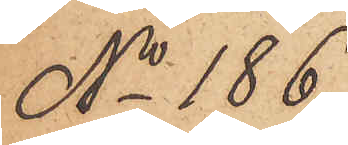No 186.
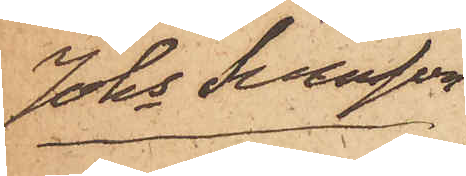Johs Svensson
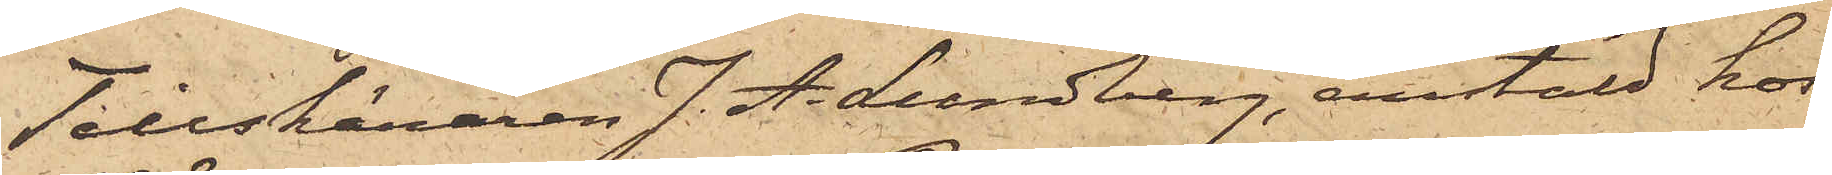Tillskäraren J. A. Lundberg, anstäld hos
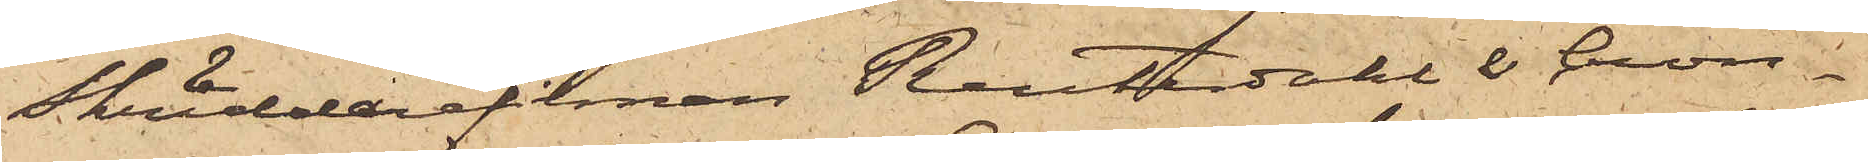Skräddarefirman Reuterdahl & Cron¬
